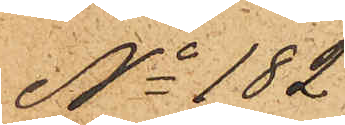No 182
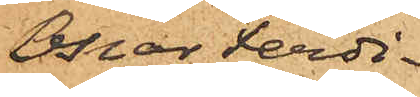Oskar Ferdi¬
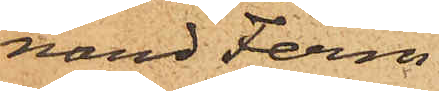nand Ferm
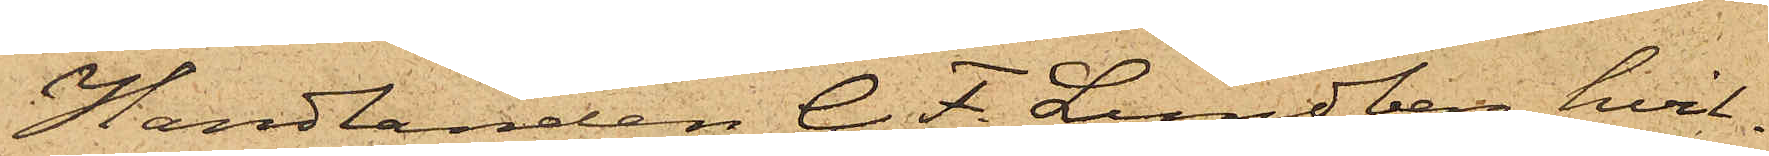Handlanden C. F. Lundberg, hvil¬
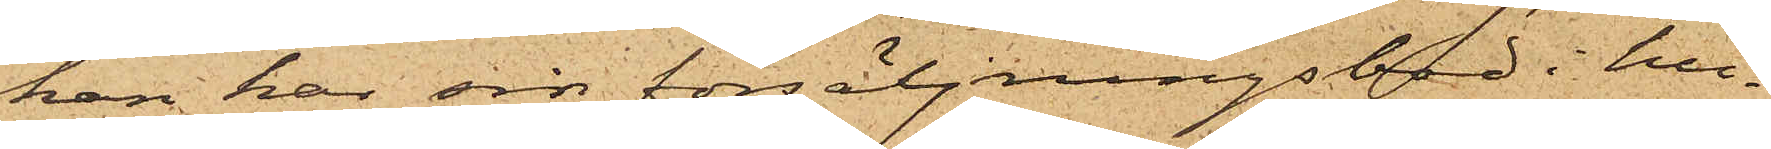han har sin försäljningsbod i hu¬
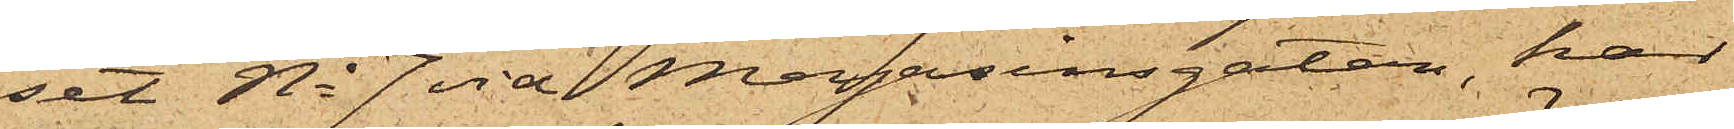set No 7 vid Magasinsgatan, har
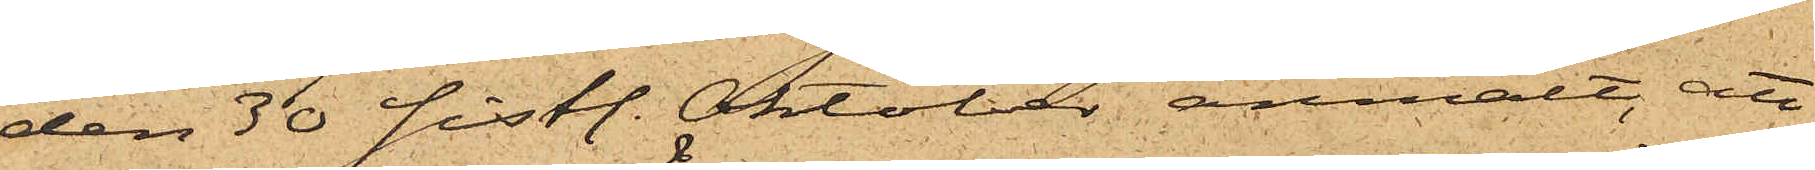den 30 sistl. Oktober anmält, att
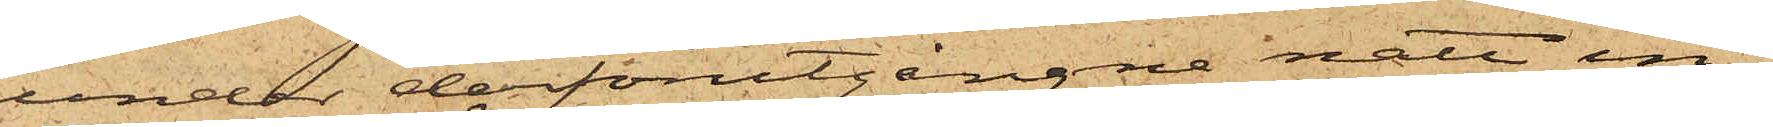under derförutgångne natt in¬
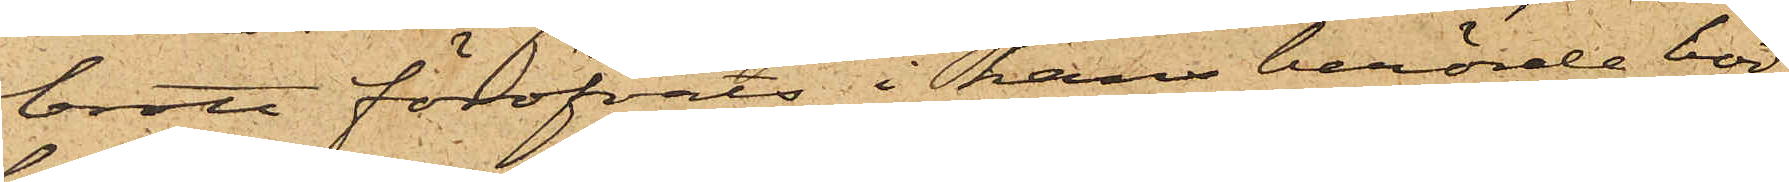brott föröfvats i hans berörde bod,
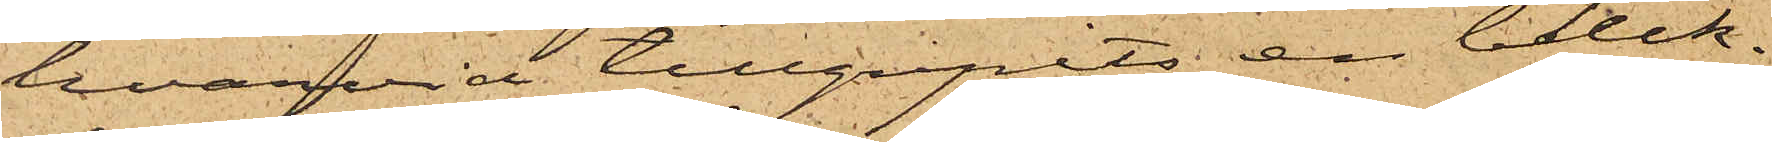hvarvid tillgripits en bleck¬
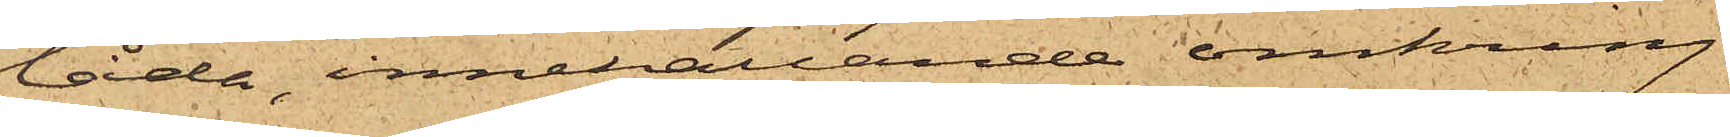låda, innehållande omkring
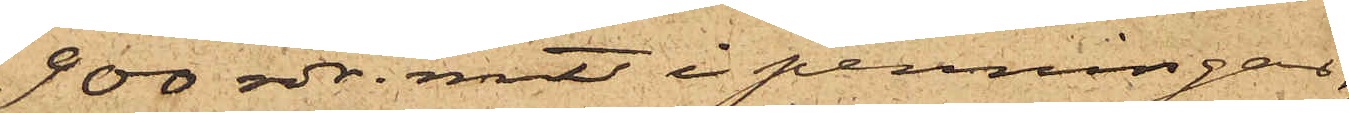900 rdr. rmt i penningar,
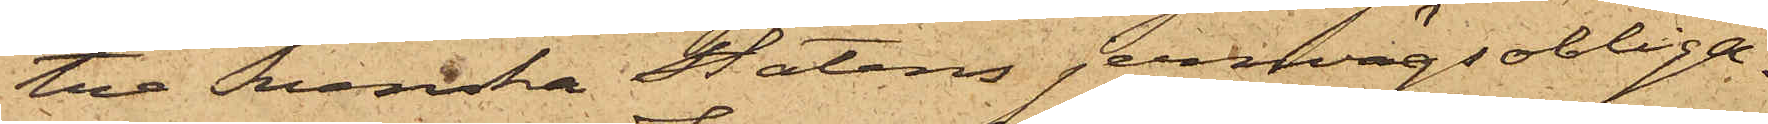tre Svenska Statens jernvägsobliga¬
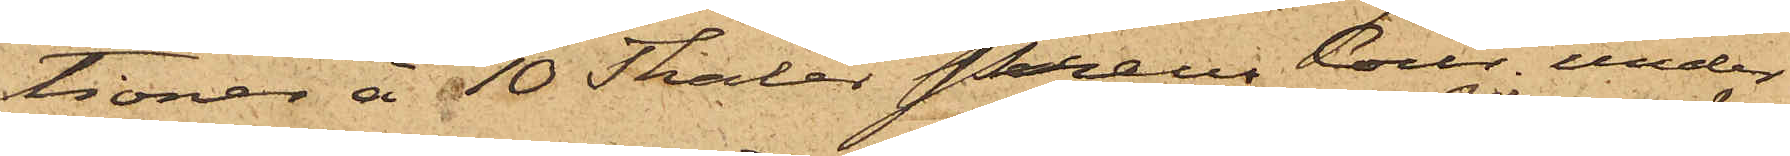tioner å 10 Thaler Preus Cour. under
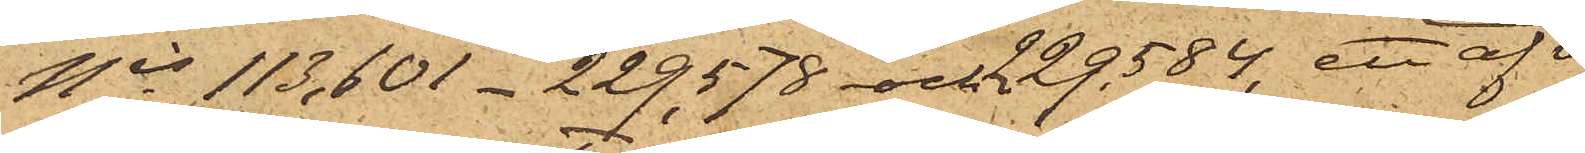Nis 113,601 - 229,578 och 229,584, ett af v
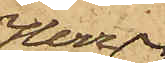Herr
